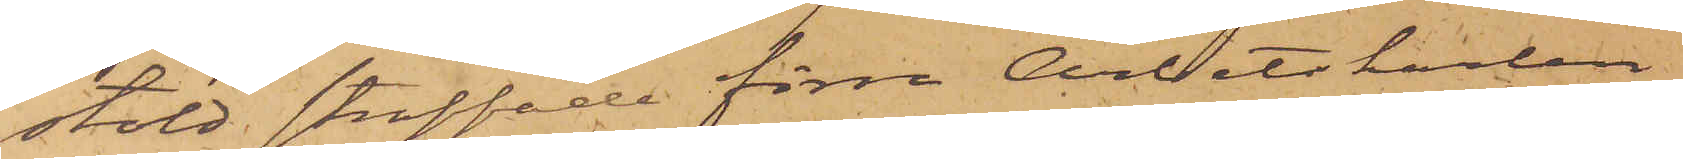stöld straffade förre Arbetskarlen
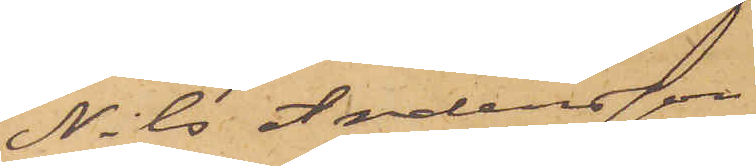Nils Andersson
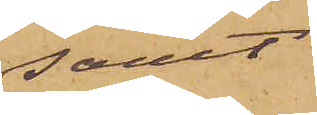samt
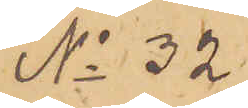No 32.
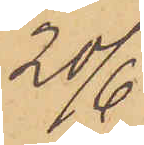20/6
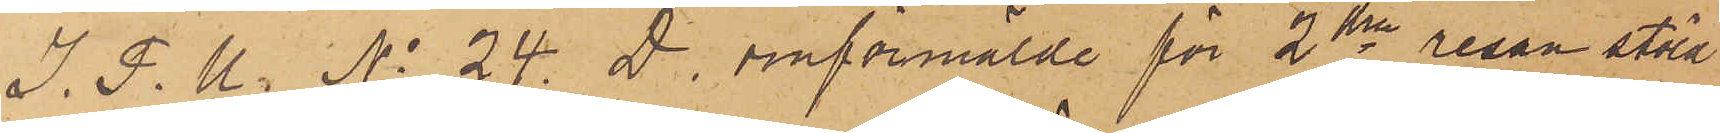I. P. U. No 24. D. omförmälde för 2dra resan stöld
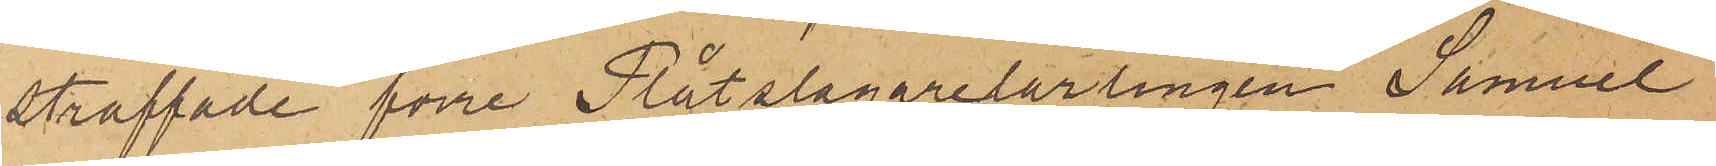straffade förre Plåtslagarelärlingen Samuel
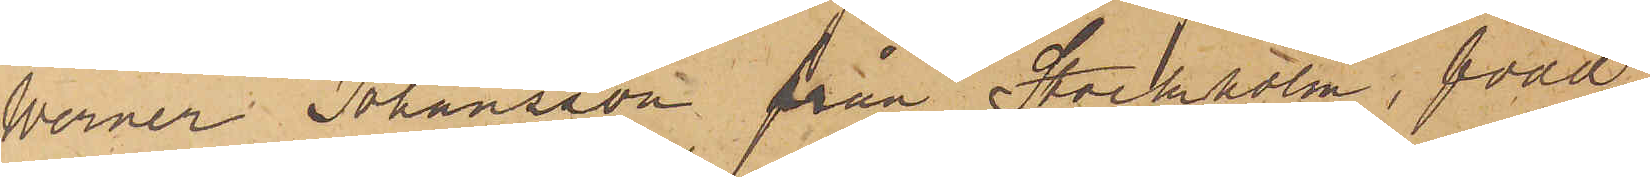Werner Johansson från Stockholm, född
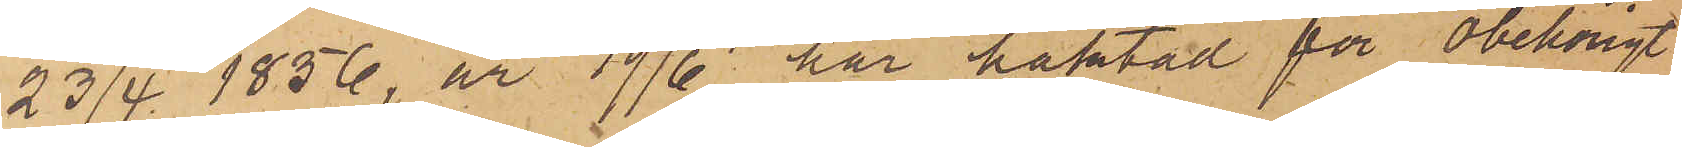23/4 1856, är 19/6 här häktad för obehörigt
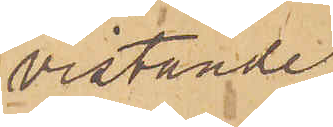vistande
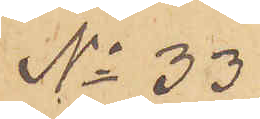No 33
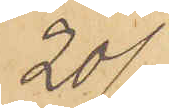20/6
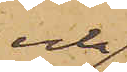och
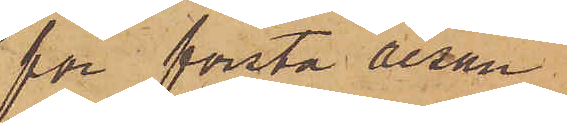för första resan
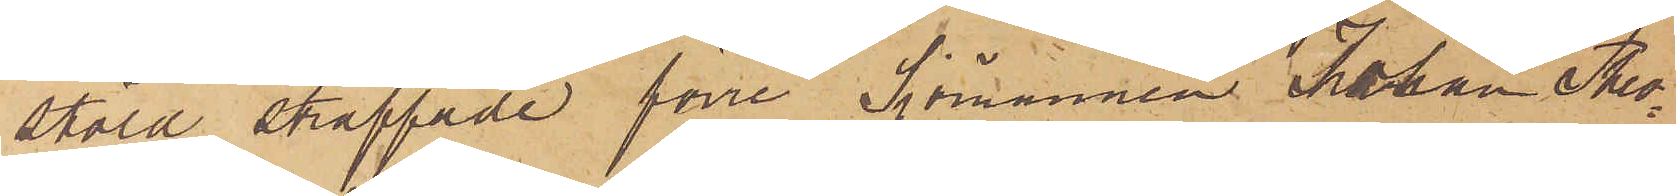stöld straffade förre Sjömannen Johan Theo¬
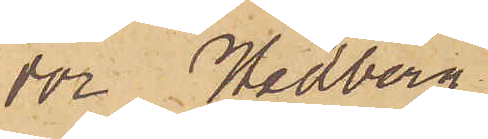dor Hedberg
